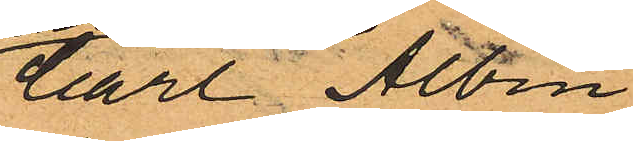Carl Albin
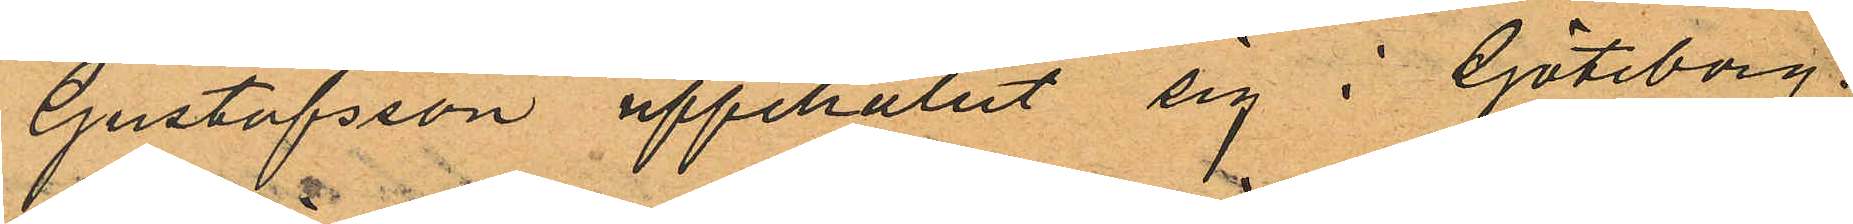Gustafsson uppehållit sig i Göteborg,
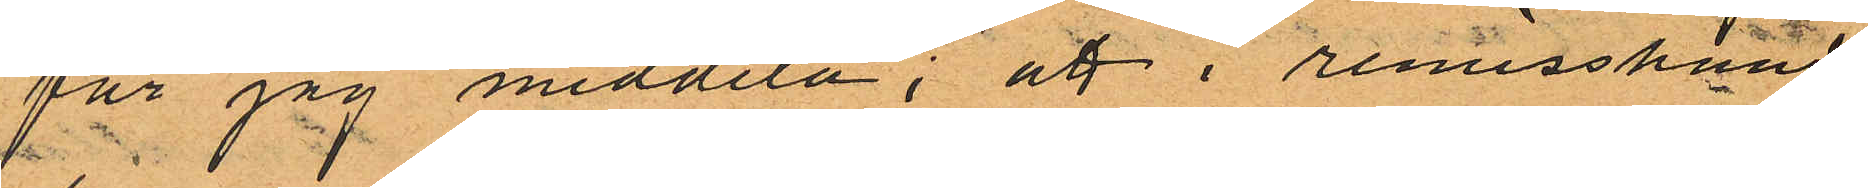får jag meddela; att i remisshand
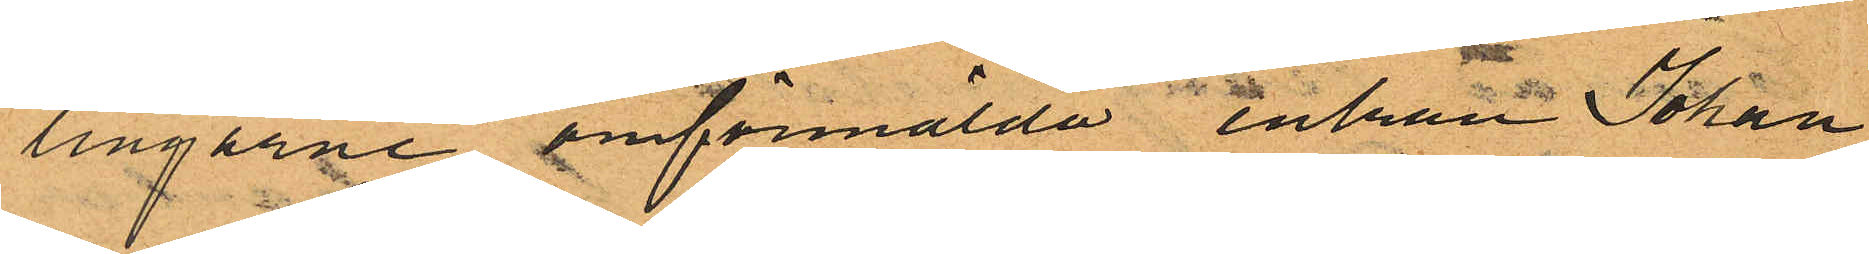lingarne omförmälda enkan Johan¬
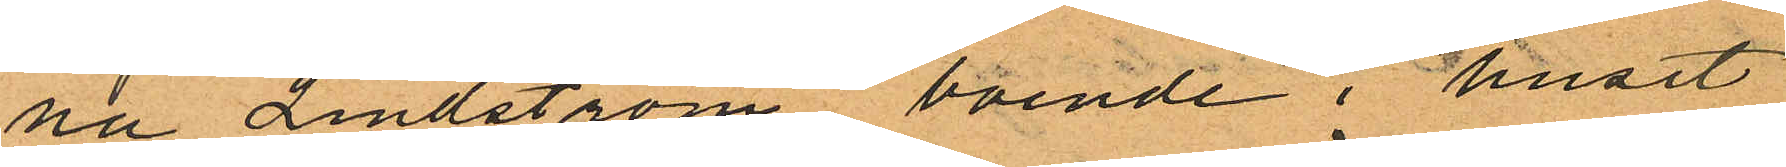na Lindström boende i huset
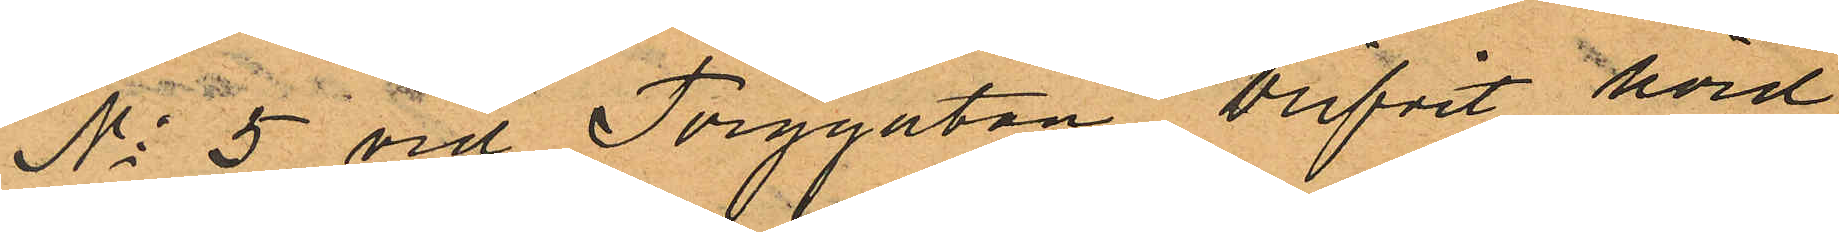No 5 vid Torggatan blifvit hörd,
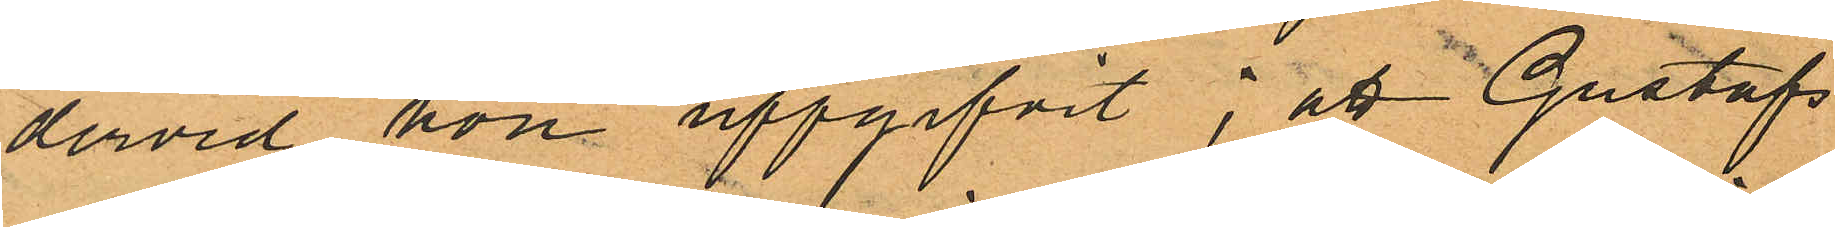dervid hon uppgifvit; att Gustafs
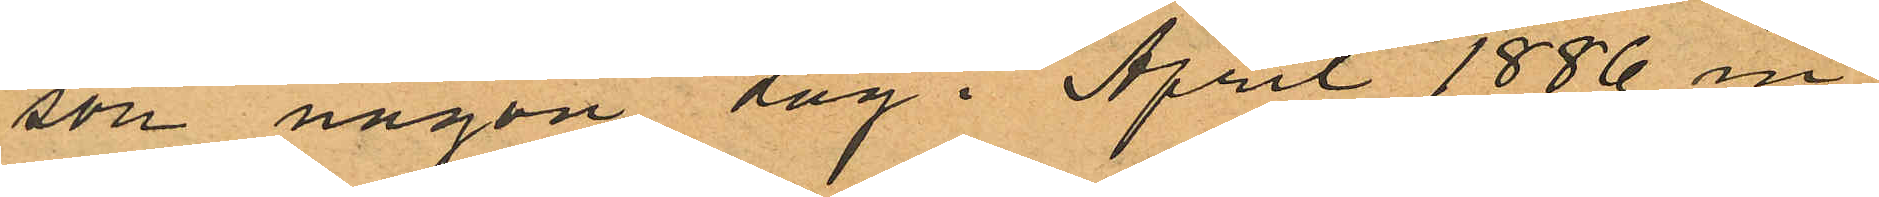son någon dag i April 1886 in¬
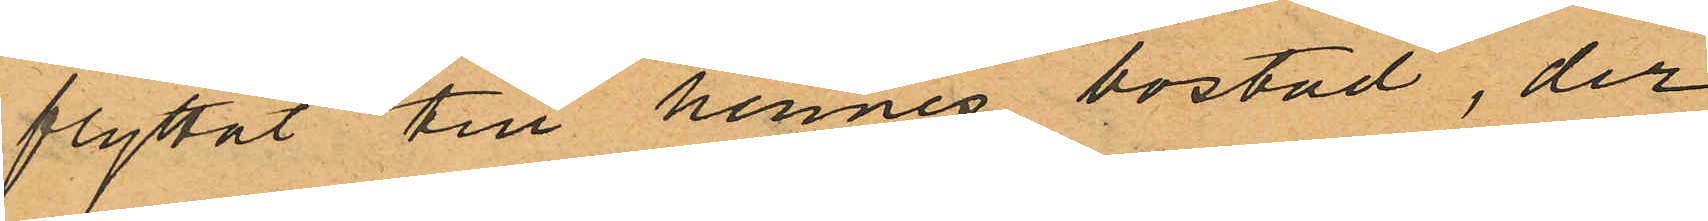flyttat till hennes bostad, der
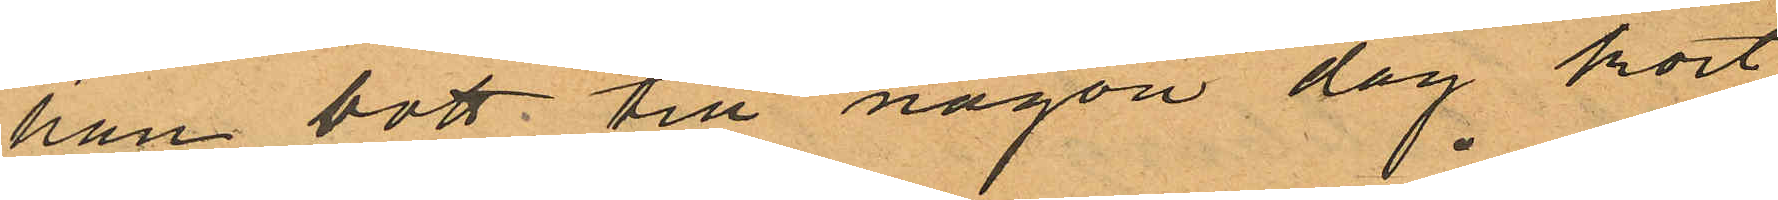han bott till någon dag kort
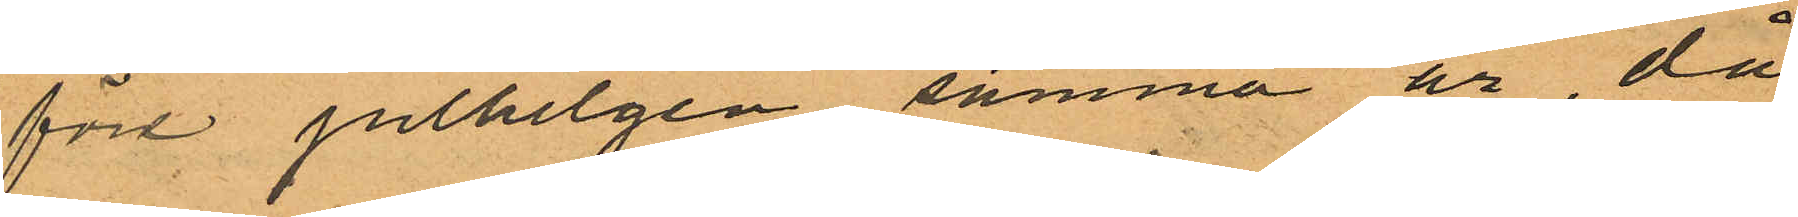före julhelgen samma år, då
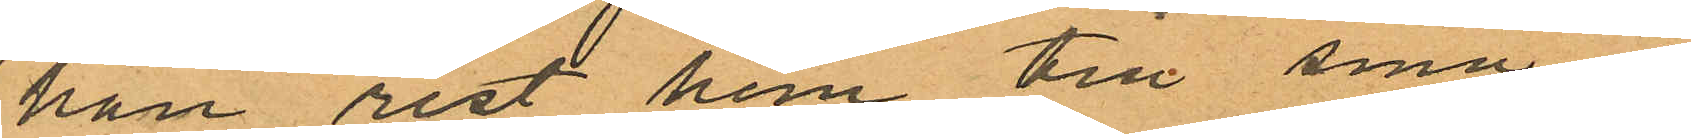han rest hem till sina i
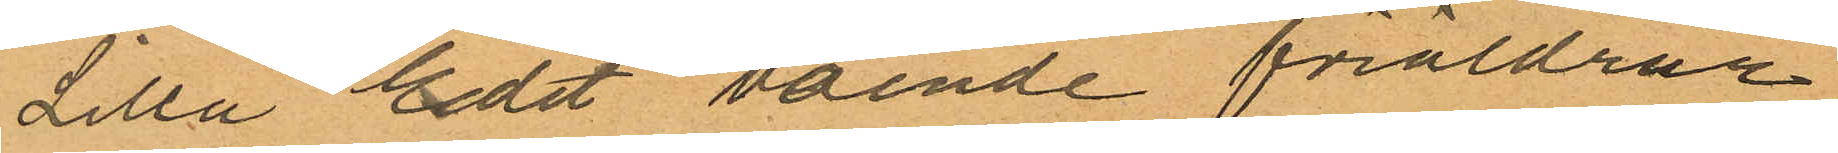Lilla Edet boende föräldrar,
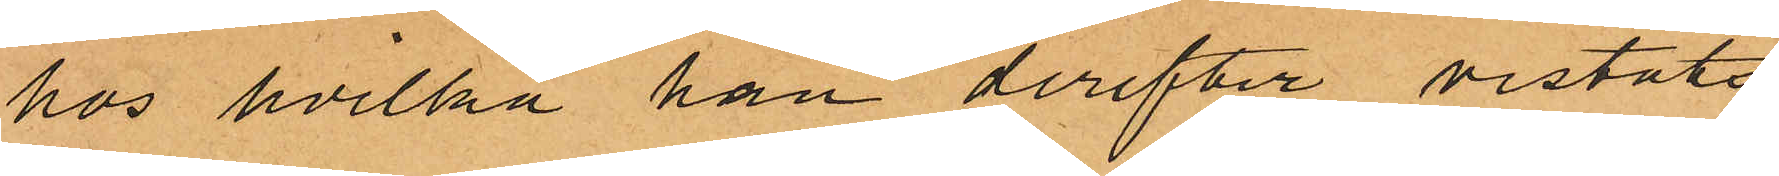hos hvilka han derefter vistats
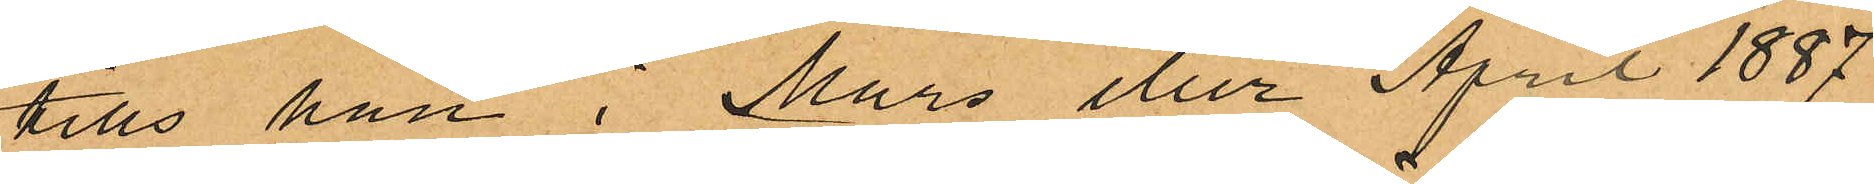tills han i Mars eller April 1887
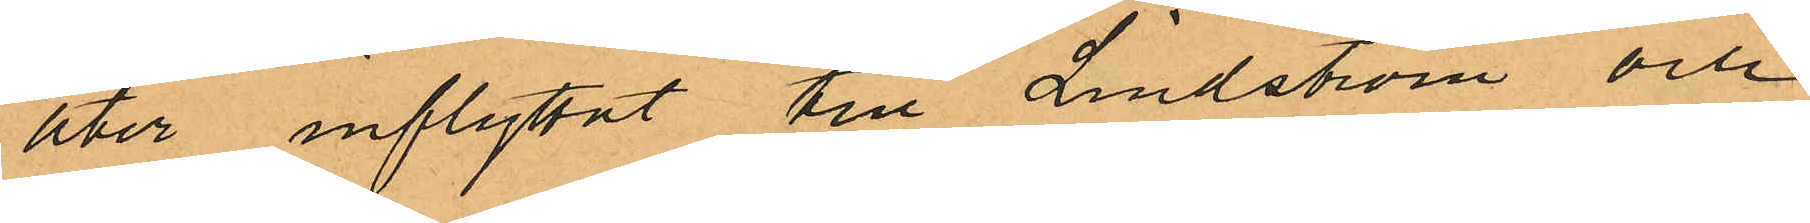åter inflyttat till Lindström och
